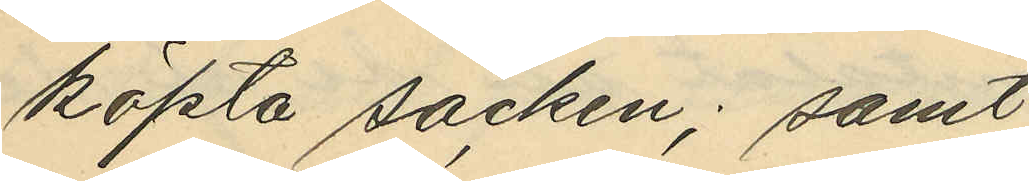köpta säcken; samt
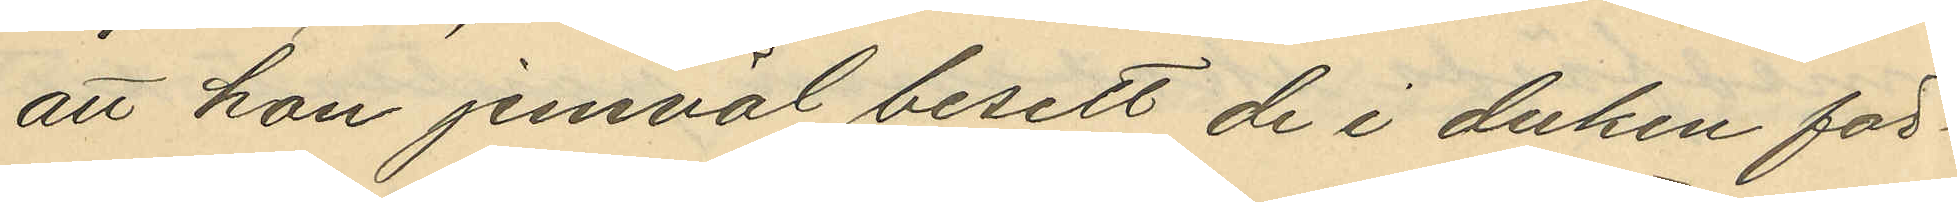att hon jemväl besett de i duken för¬
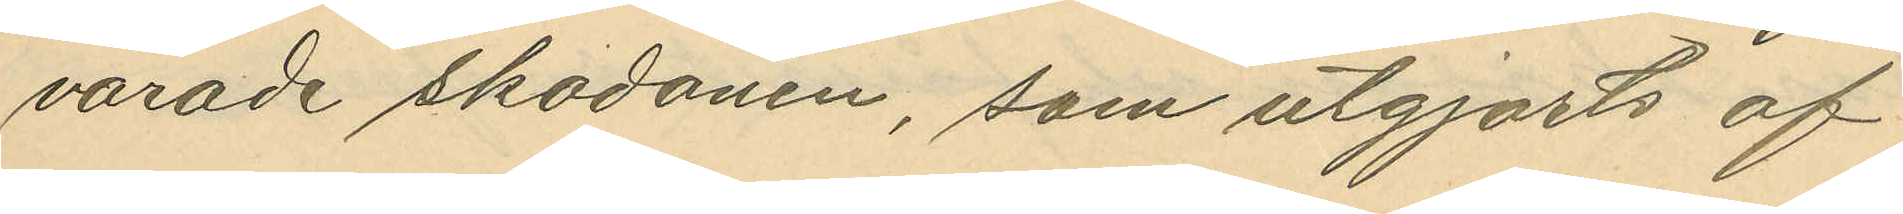varade skodonen, som utgjorts af
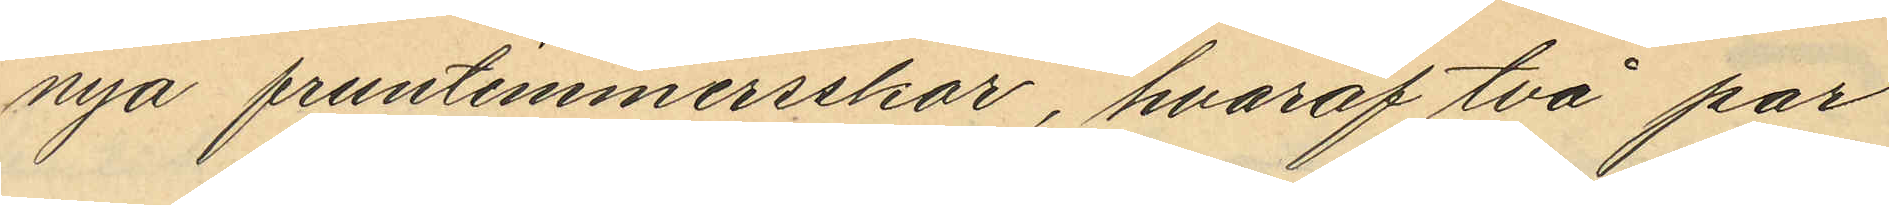nya fruntimmersskor, hvaraf två par
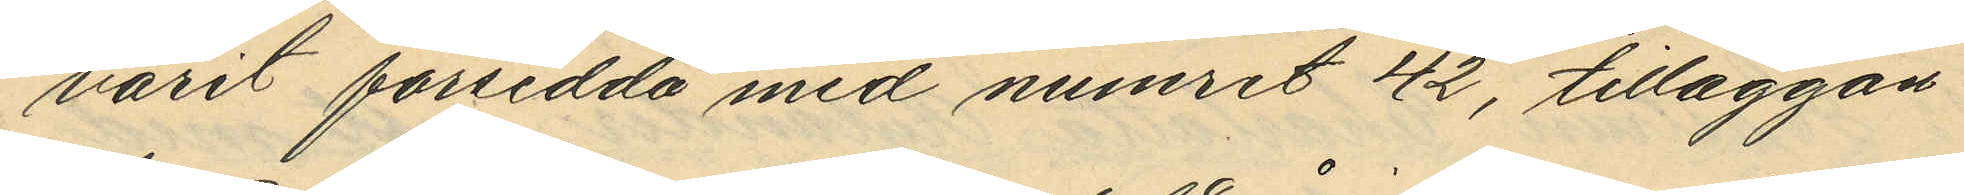varit försedda med numret 42, tilläggan¬
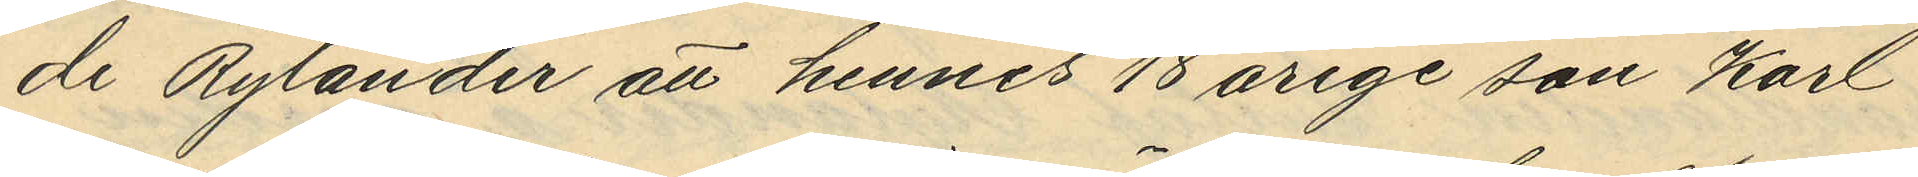de Rylander att hennes 18 årige son Karl
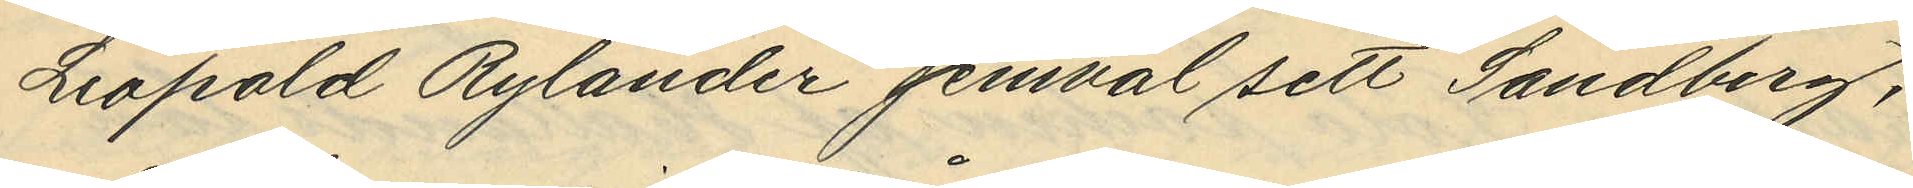Leopold Rylander jemväl sett Sandberg,
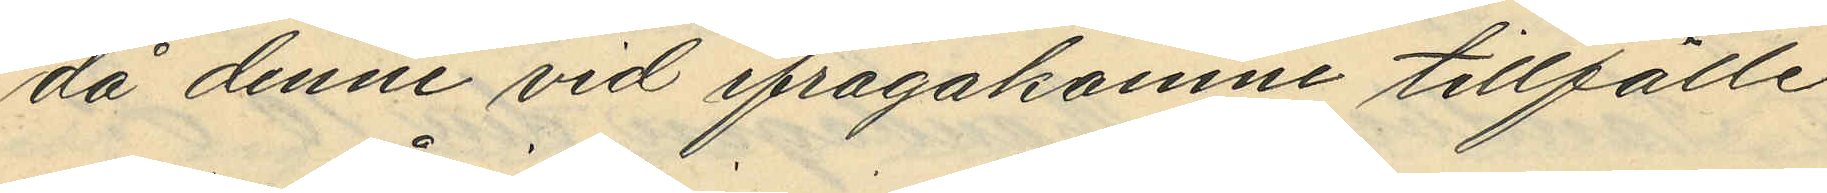då denne vid ifrågakomme tillfälle
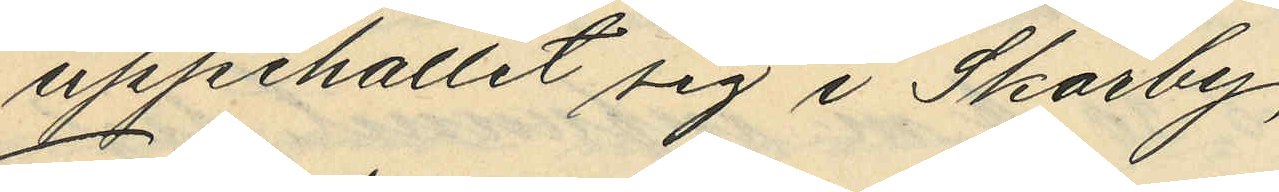uppehållit sig i Skårby;
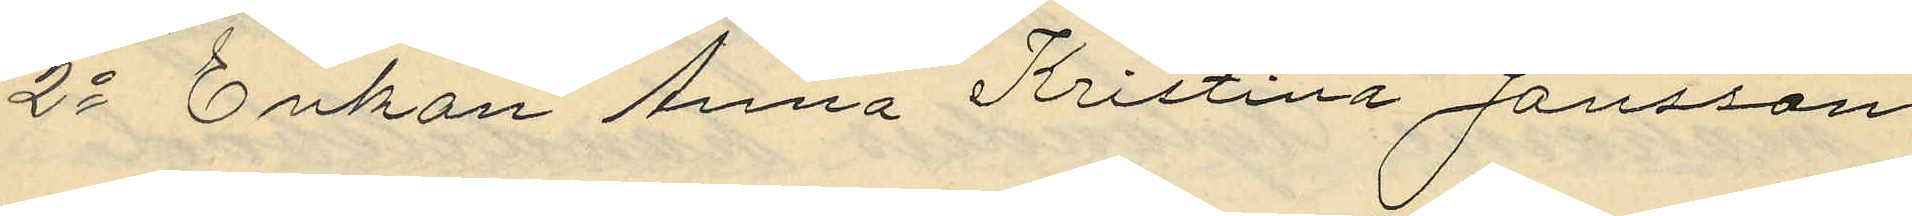2o Enkan Anna Kristina Jansson
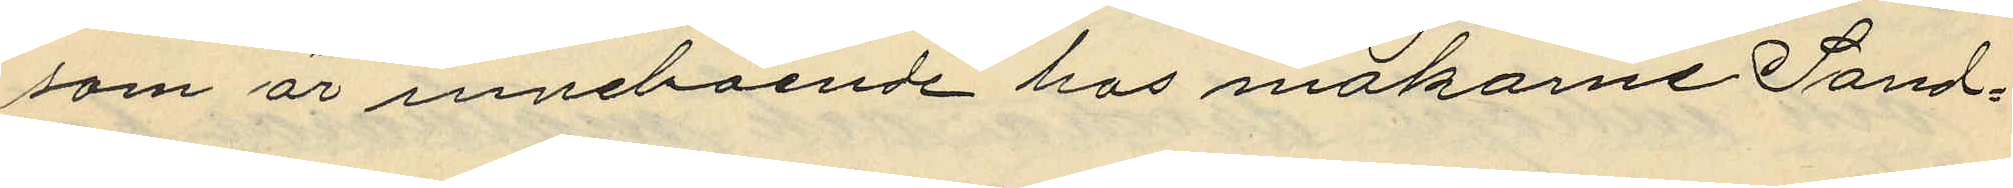som är inneboende hos makarne Sand¬
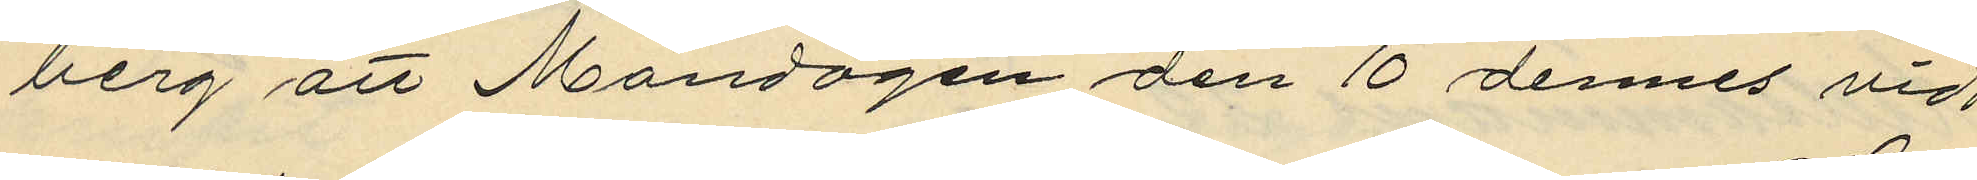berg att Måndagen den 10 dennes vid
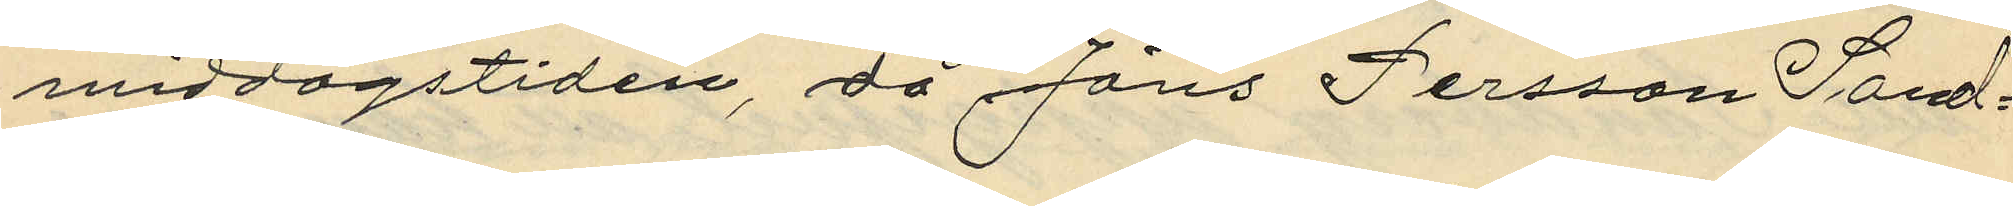middagstiden då, Jöns Persson Sand¬
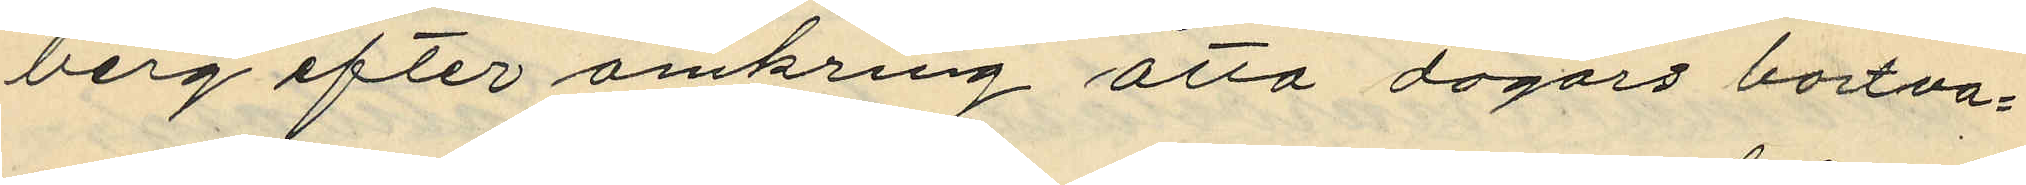berg efter omkring åtta dagars bortva¬
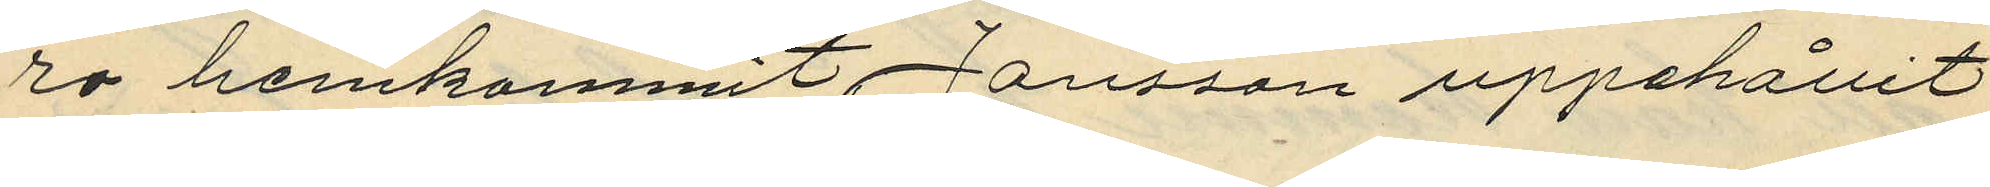ro hemkommit, Jansson uppehållit
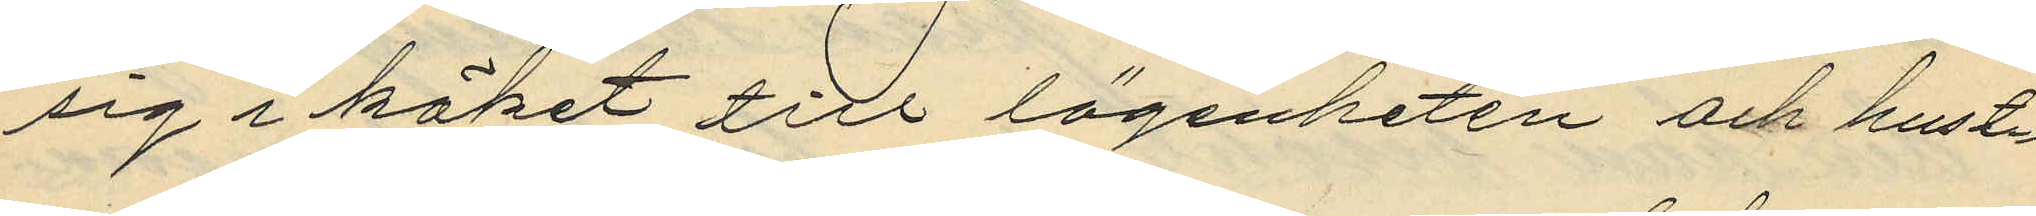sig i köket till lägenheten och hust¬
